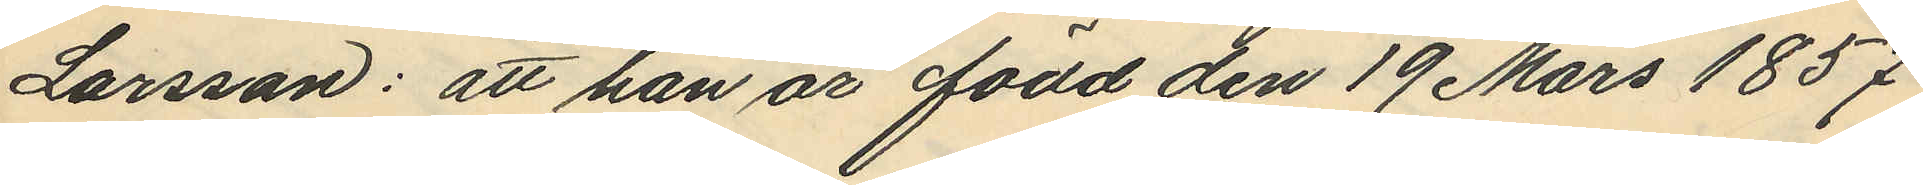Larsson: att han är född den 19 Mars 1857
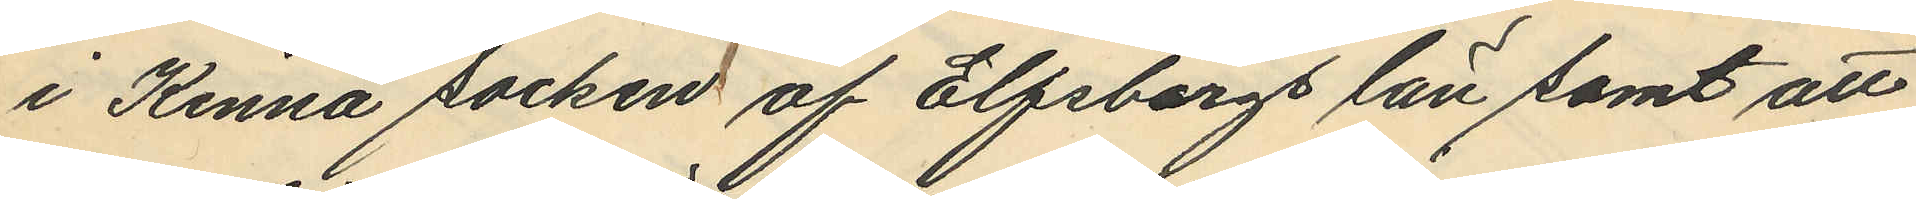i Kinna socken af Elfsborgs län samt att
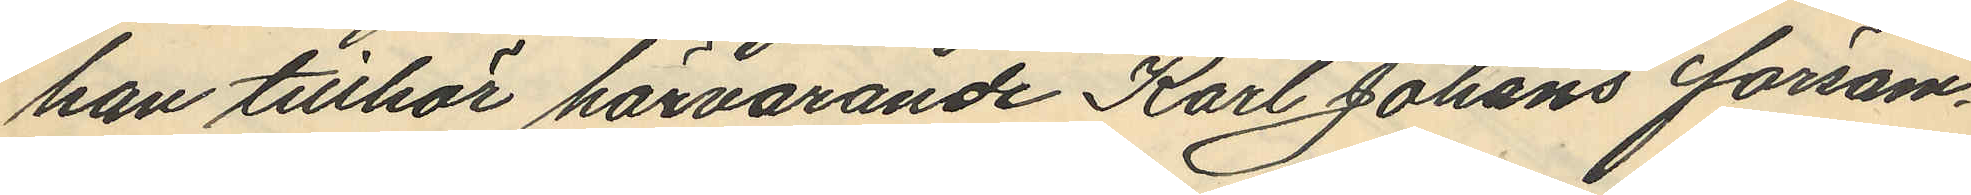han tillhör härvarande Karl Johans försam¬
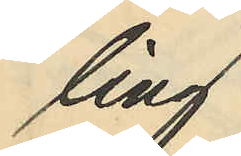ling
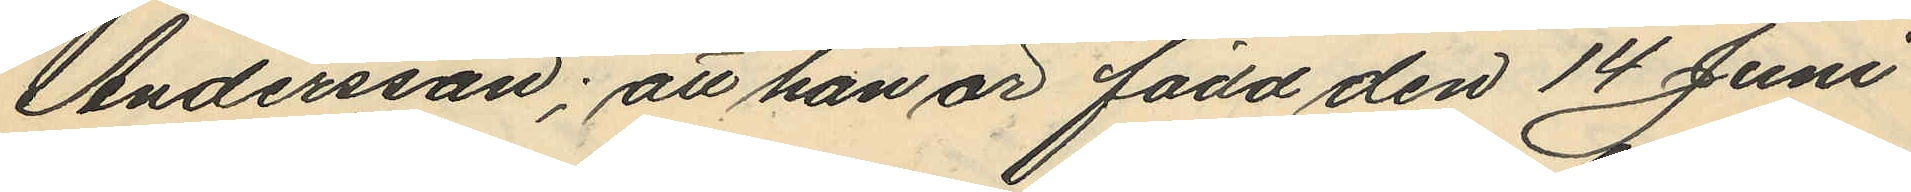Andersson; att han är född den 14 Juni
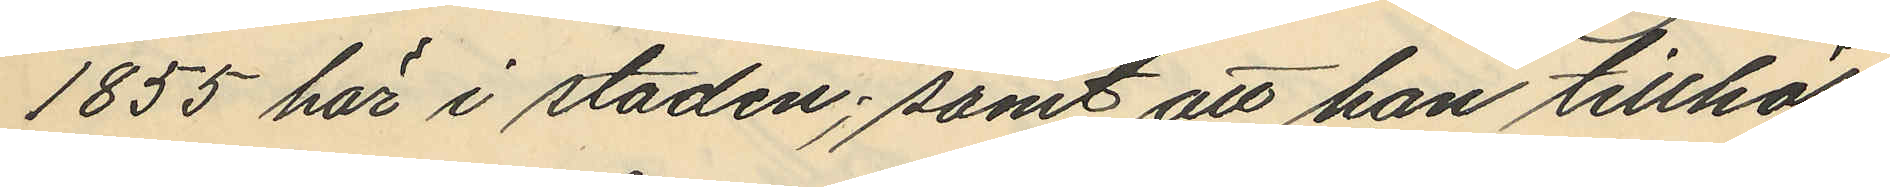1855 här i staden; samt att han tillhör
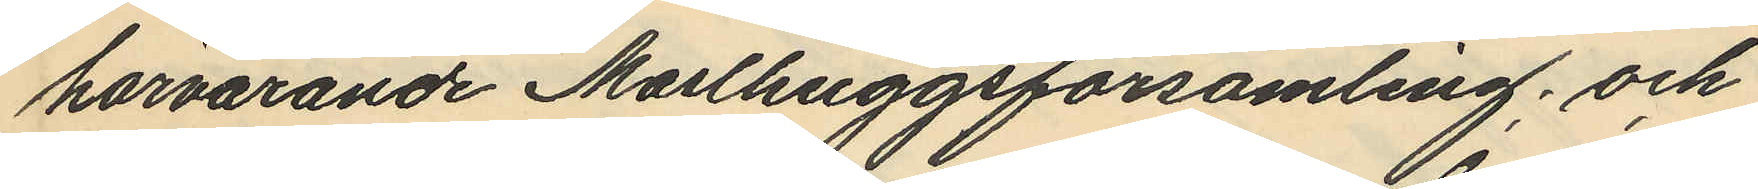härvarande Masthuggsförsamling; och
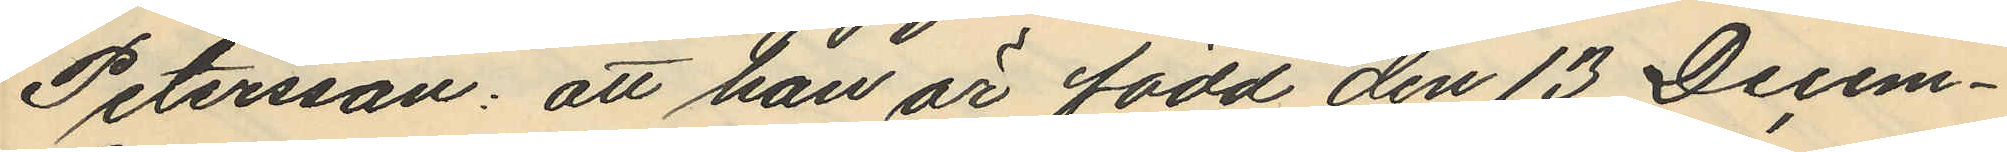Petersson: att han är född den 13 Decem¬
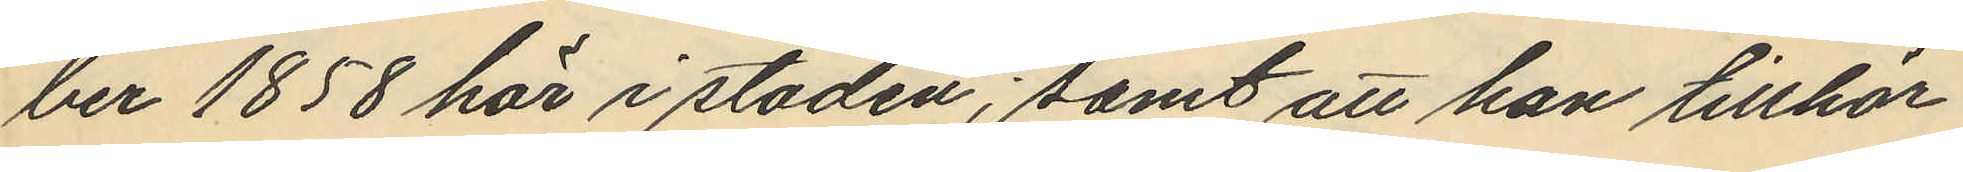ber 1858 här i staden; samt att han tillhör
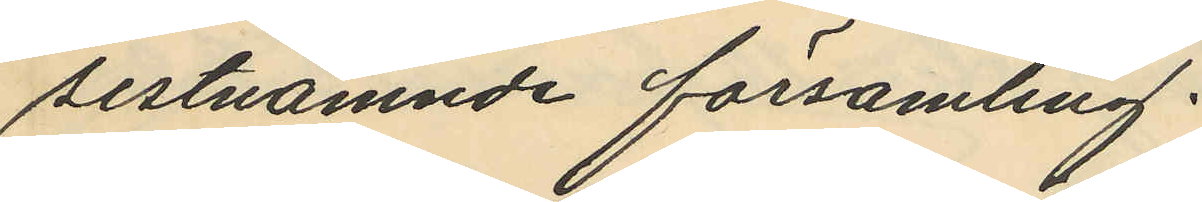sistnämnde församling.
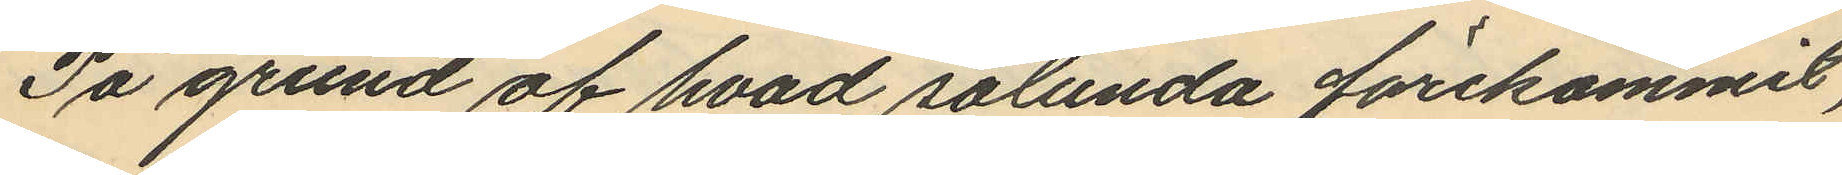På grund af hvad sålunda förekommit,
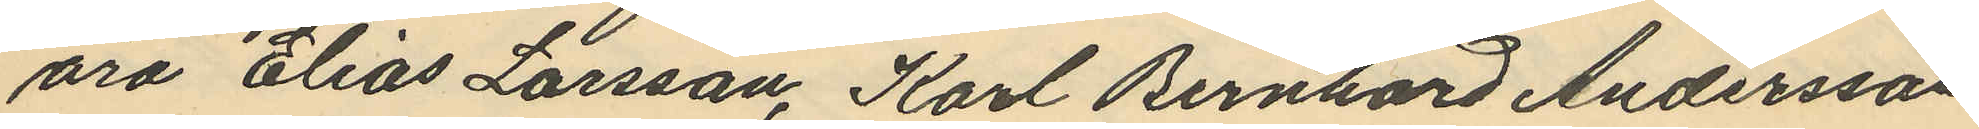äro Elias Larsson, Karl Bernhard Andersson
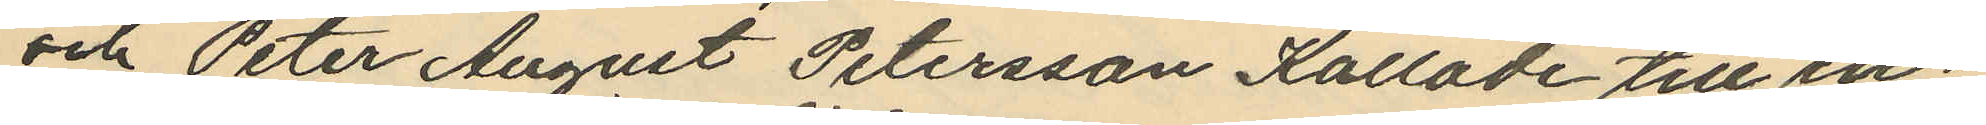och Peter August Petersson Kallade till in¬
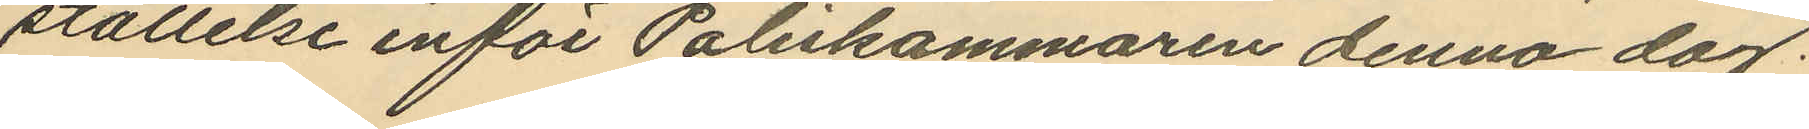ställelse inför Poliskammaren denna dag.
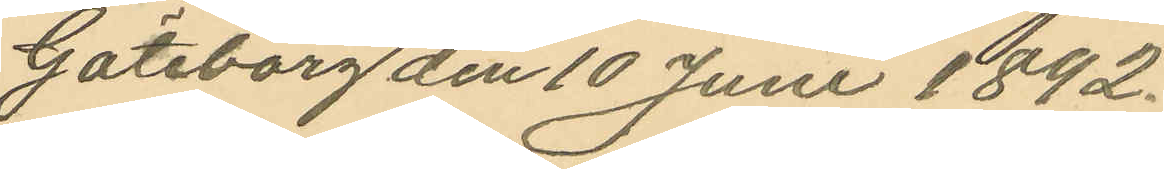Göteborg den 10 Juni 1892.
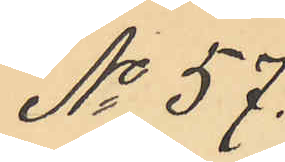No 57.
